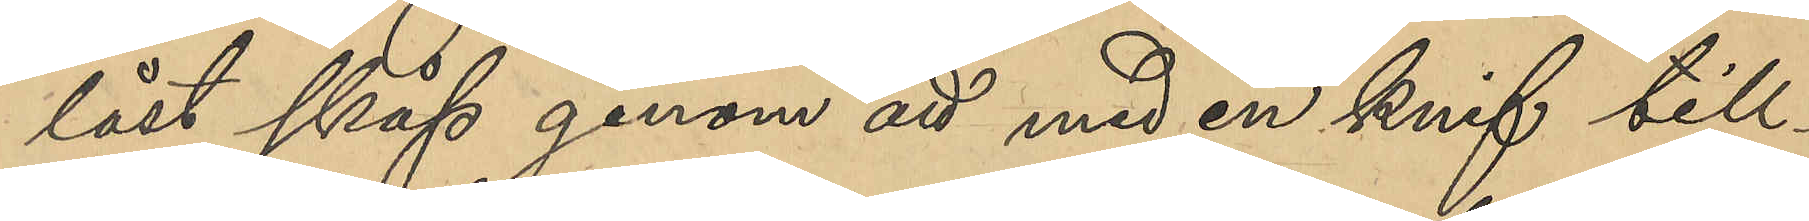låst skåp genom att med knif till¬
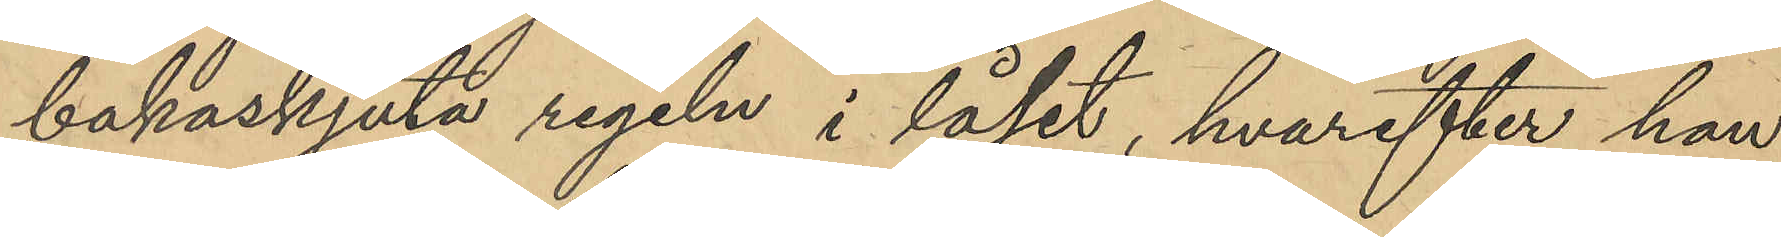bakaskjuta regeln i låset, hvarefter han
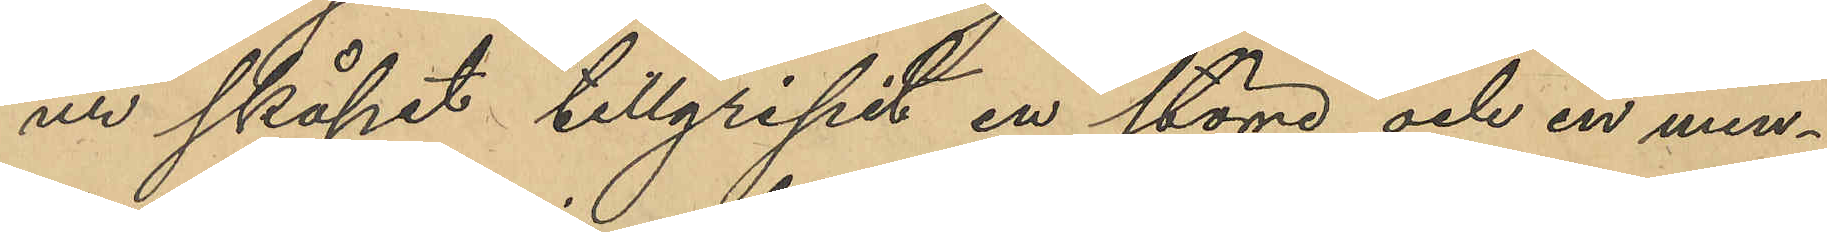ur skåpet tillgripit en större och en min¬
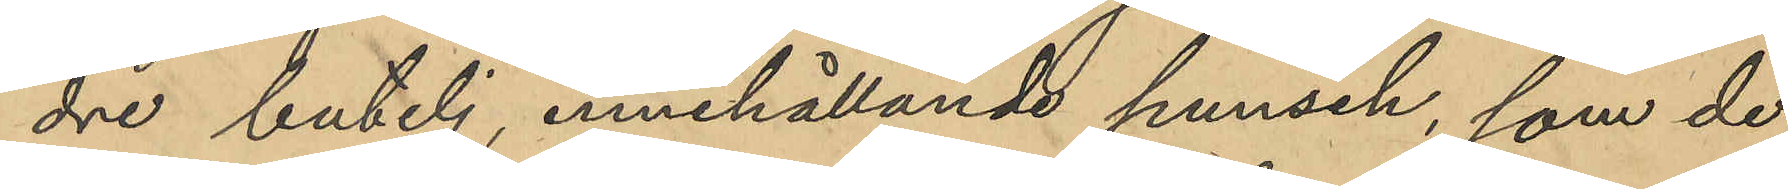dre butelj innehållande punsch, som de
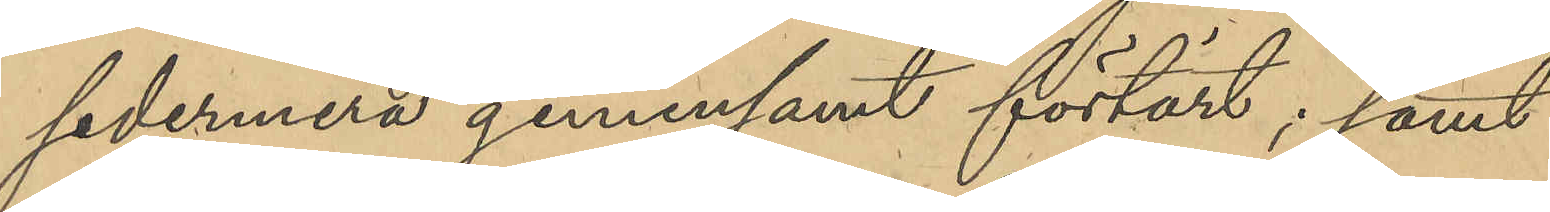sedermera gemensamt förtärt; samt
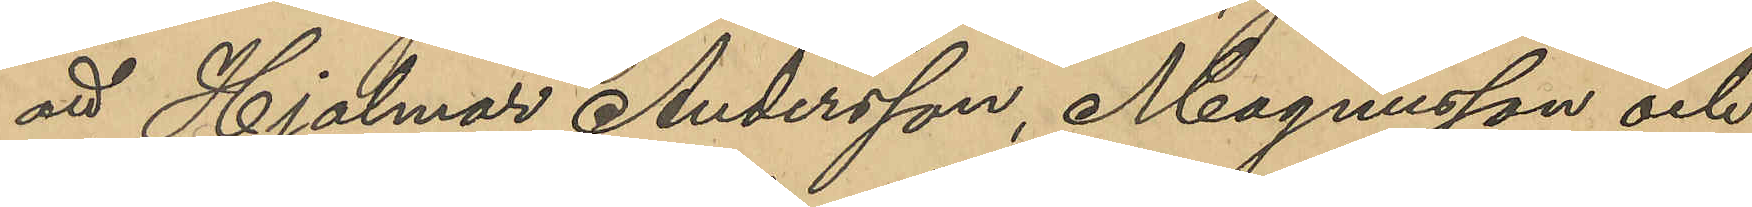att Hjalmar Andersson, Magnusson och
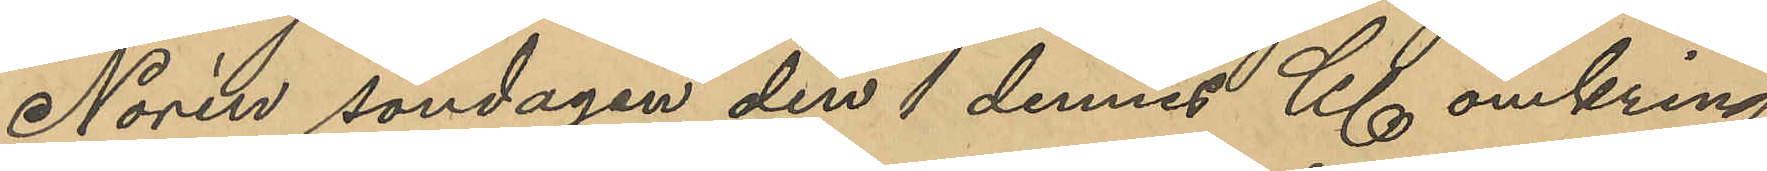Norén söndagen den 1 dennes Kl omkring
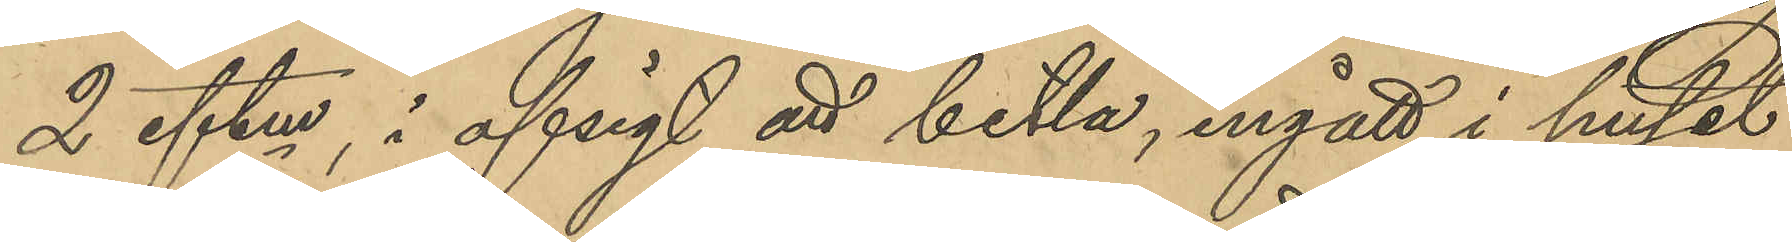2 eftm, i afsigt att bettla, ingått i huset
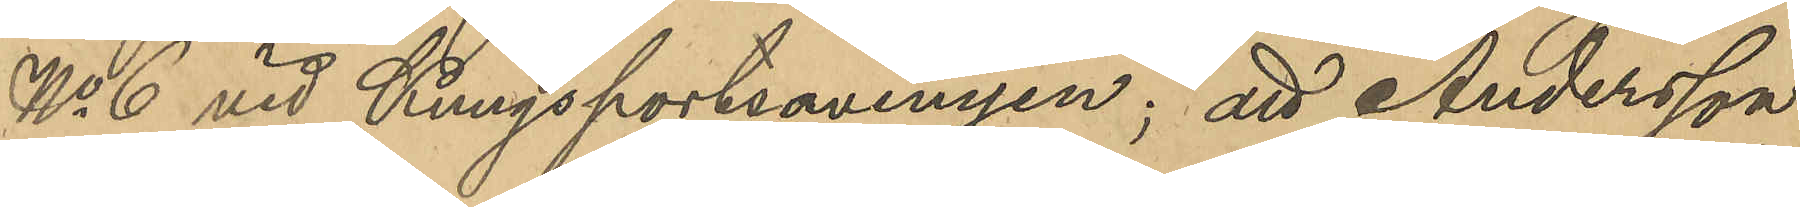No 6 vid Kungsportsavenyen; att Andersson
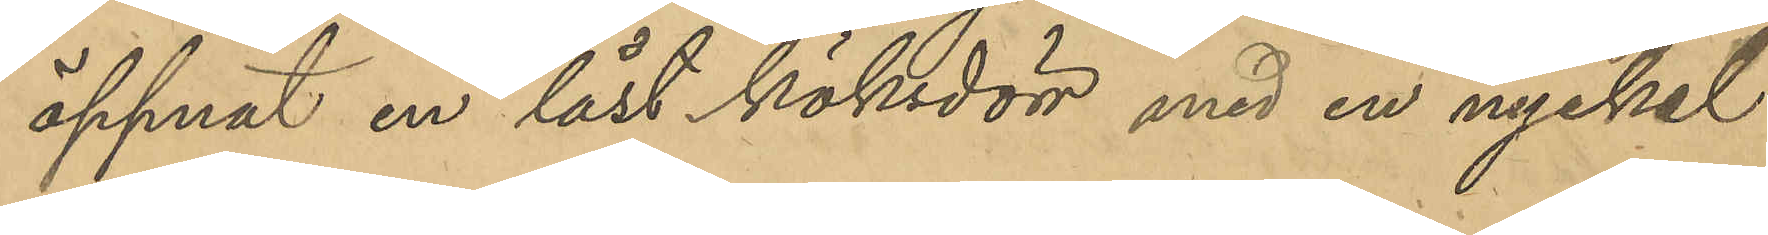öppnat en låst köksdörr med en nyckel
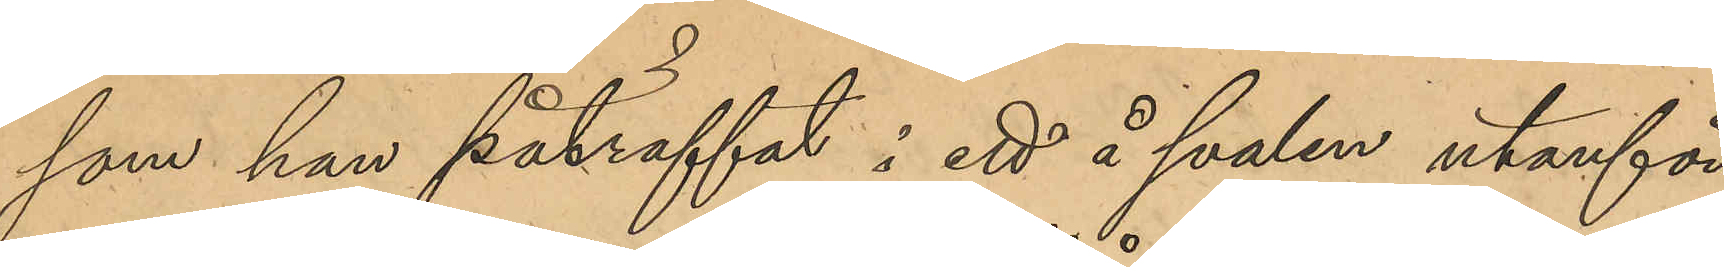som han påträffat i ett å svalen utanför
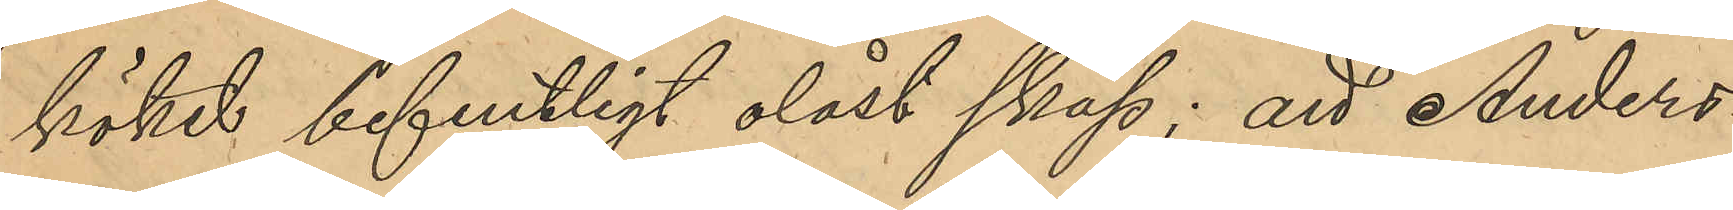köket befintligt olåst skåp; att Anders¬
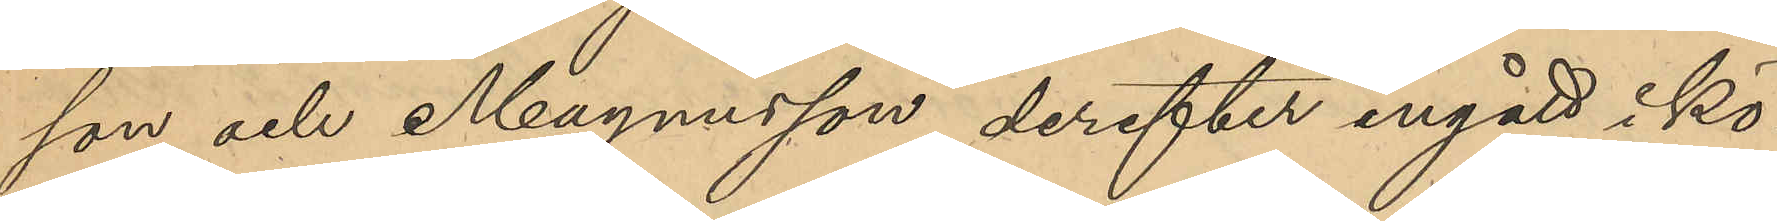son och Magnusson derefter ingått i kö¬
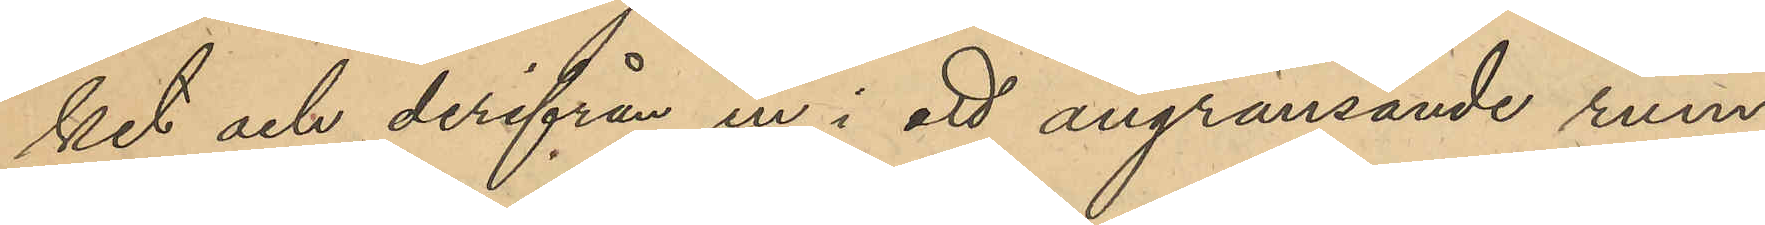ket och derifrån ur i ett angränsande rum,
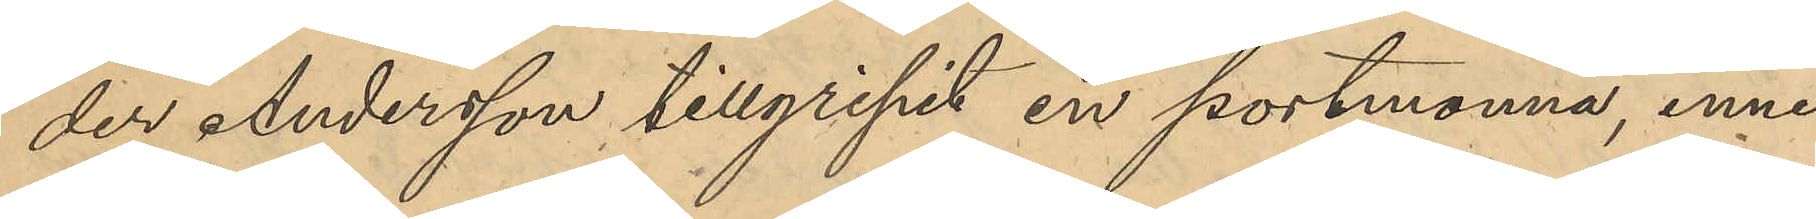der Andersson tillgripit en portmonnä, inne¬
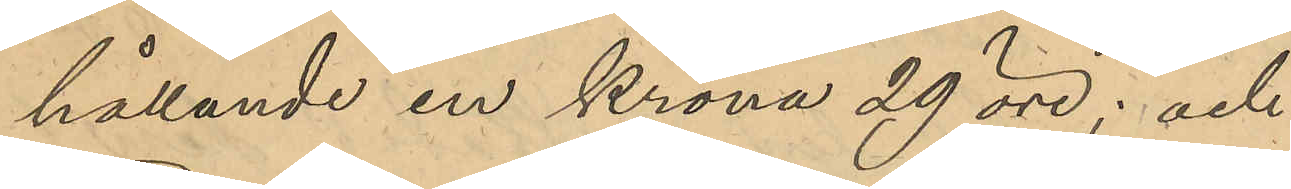hållande en krona 29 öre; och
